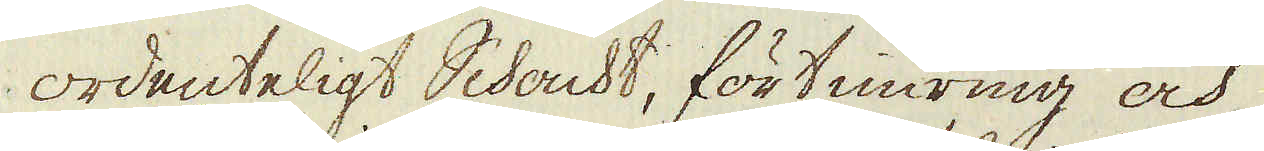ordenteligt Schacht, förtimring och
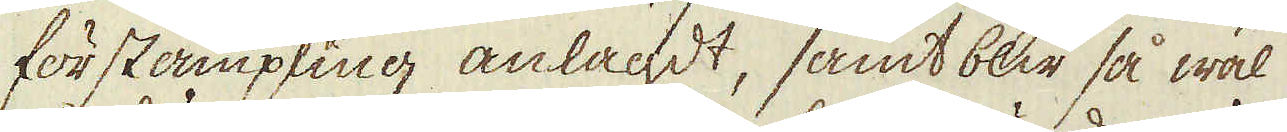förstämpling anlagdt, samt blir så wäl
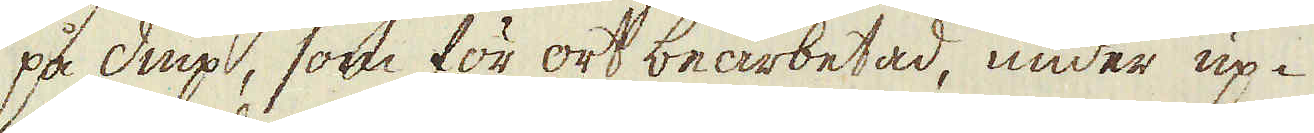på diup, som för ort bearbetad under up-
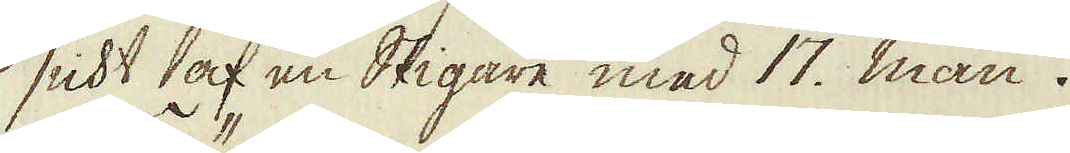sicht af en Stigare med 17. man.
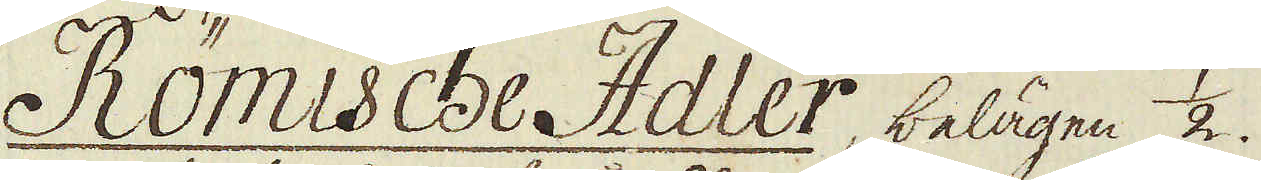Römische Adler, belägen 1/2.
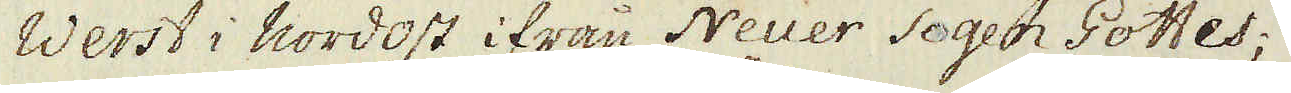Werst i nordost ifrån Neuer Segen Gottes;
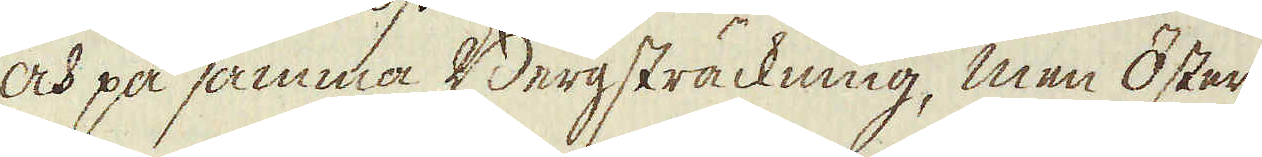och på samma Bergsträckning, men Öster
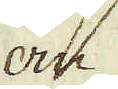om
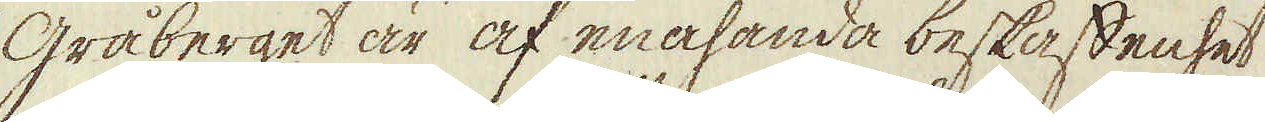gråberget är af enahanda beskaffenhet
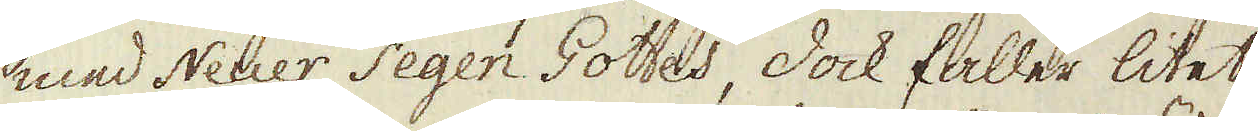med Neuer Segen Gottes, dock faller litet
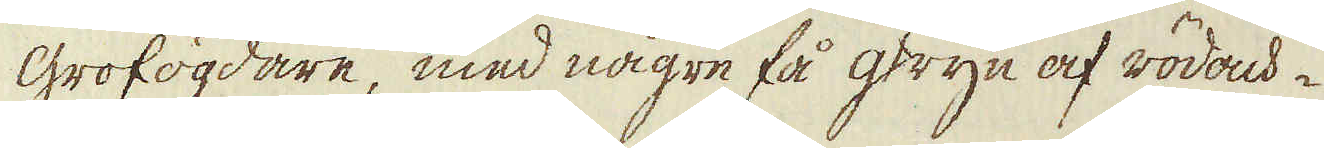grofögdare, med någre få gryn af rödach-
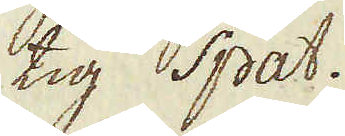tig spat.
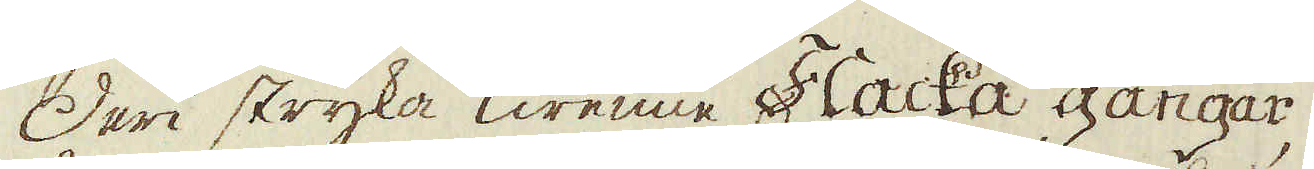Deri stryka Twenne Flacka gångar,
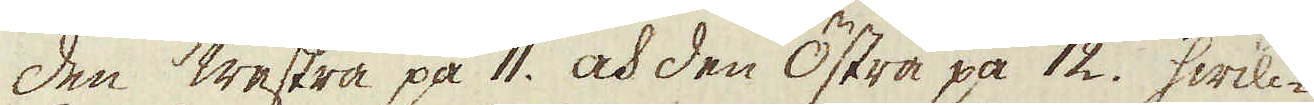den westra på 11. och den Östra på 12. hwil-
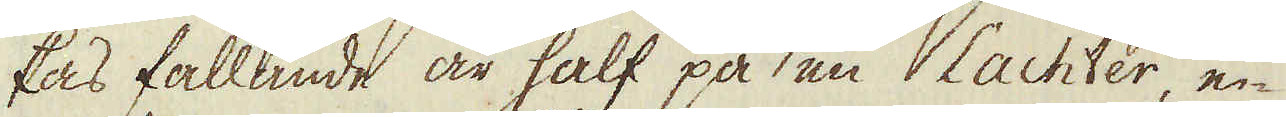kas fallande är half på en Lachter e-
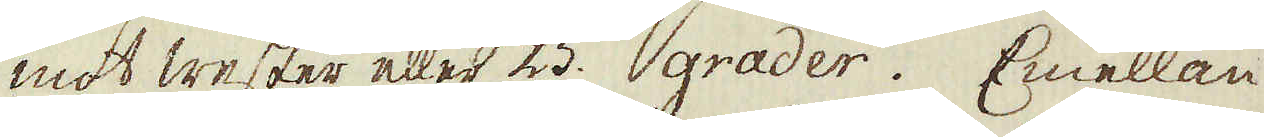mot wester eller 25. grader. Emellan
